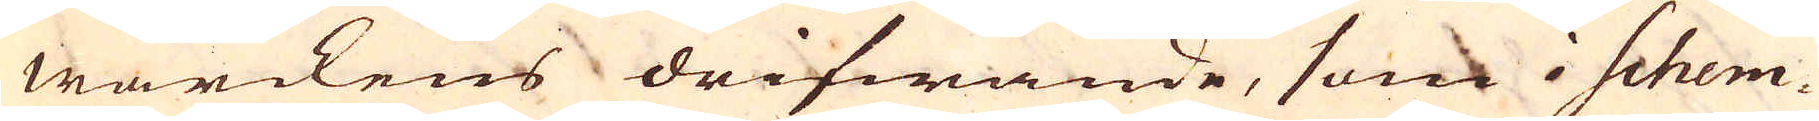wärckens drifwande, som i Schem-
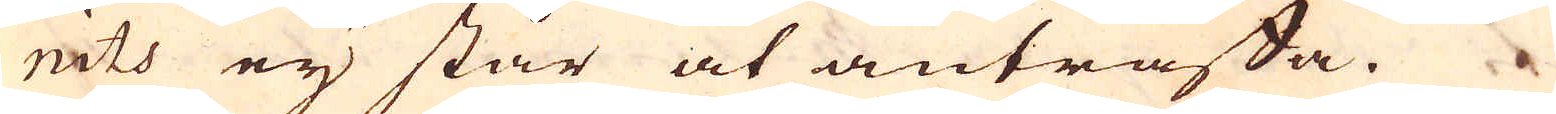nits eij står at anträffa.
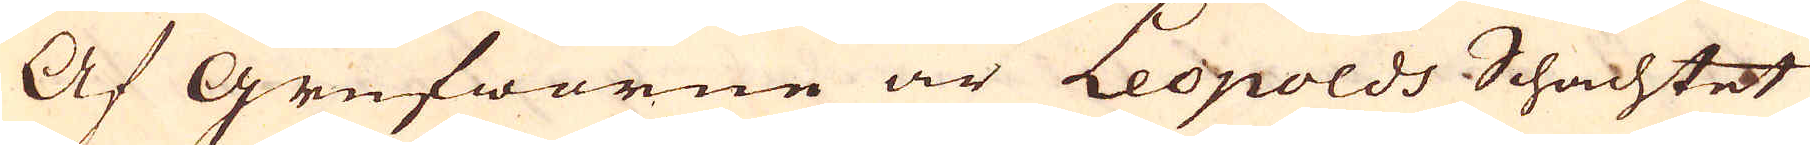Af Grufworne är Leopolds Schachtet
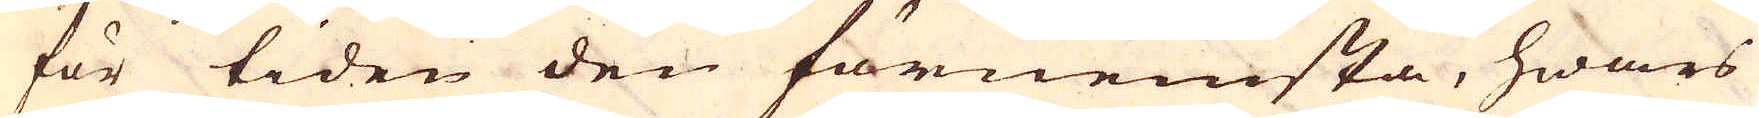för tiden den förnemsta, hwars
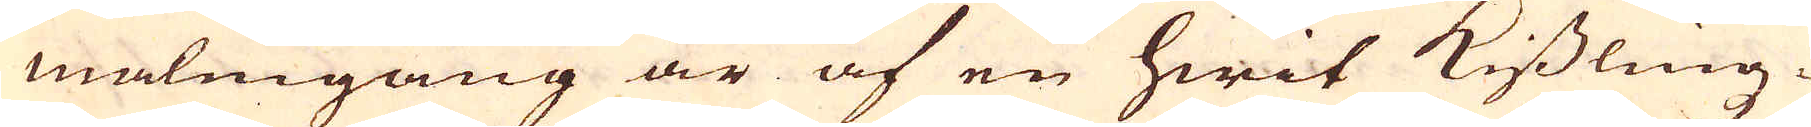malmgång är af en hwit kisslingz-
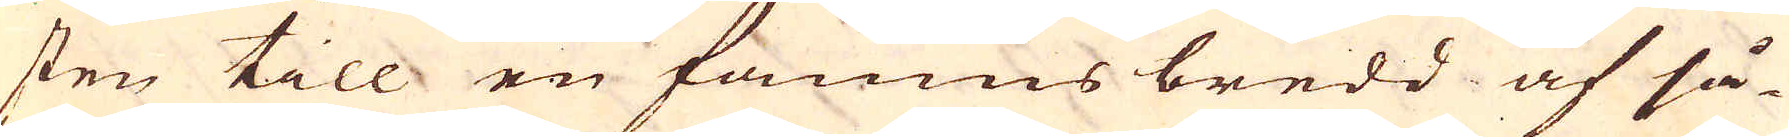sten till en famnns bredd af så-
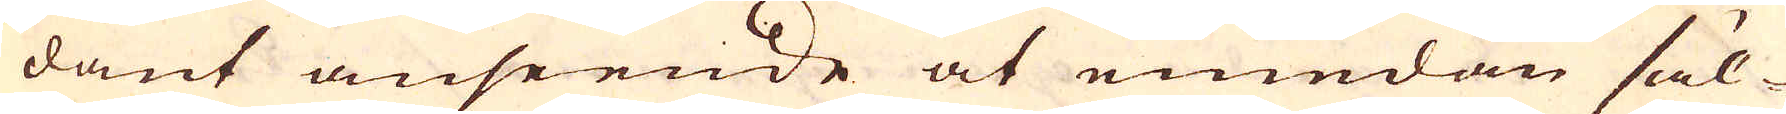dant anseende at emedan säl-
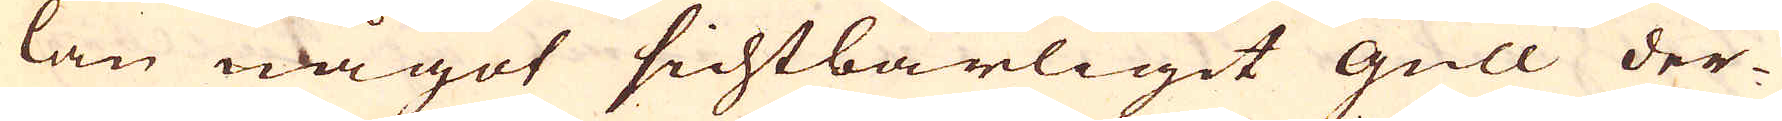lan något sichtbarligit Gull der-
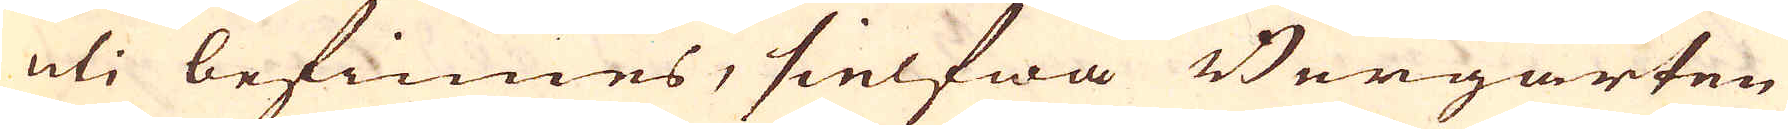uti befinnes, sielfwa Bergarten
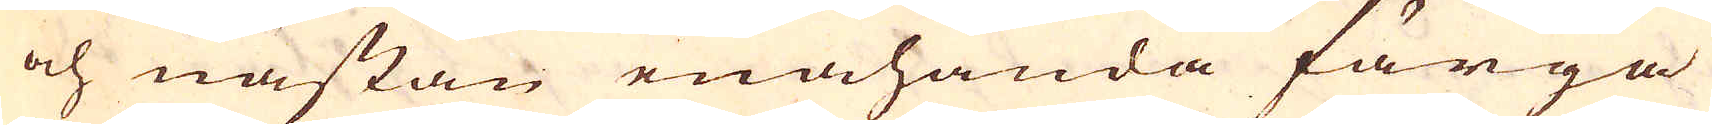och nästan enahanda färga
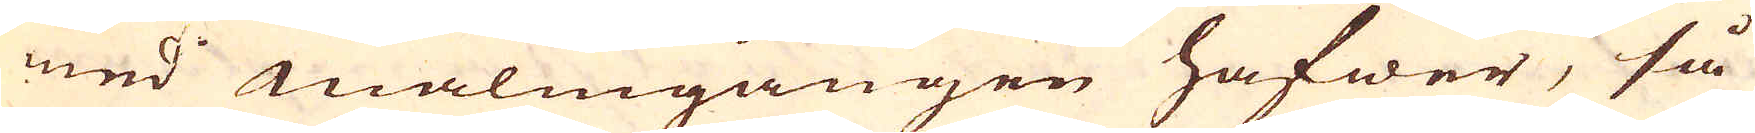med malmgången hafwer, så
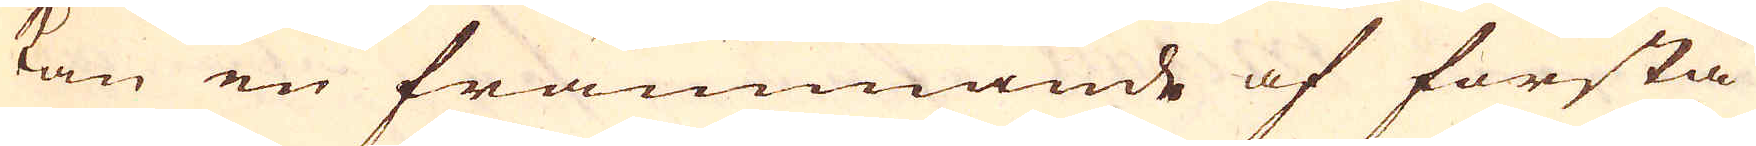kan en främmande af första
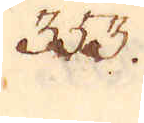353.
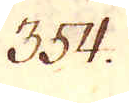354.
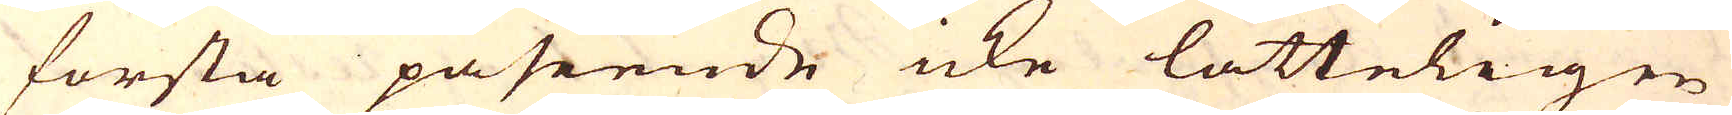första påseende icke lätteligen
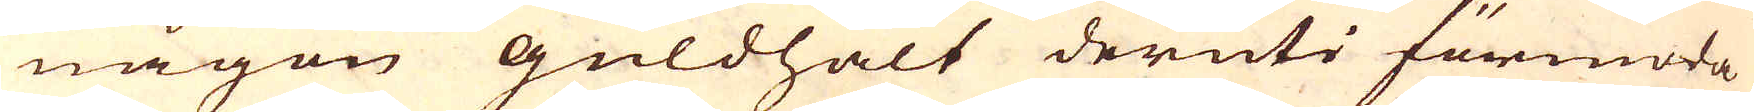någon guldhalt deruti förmoda
